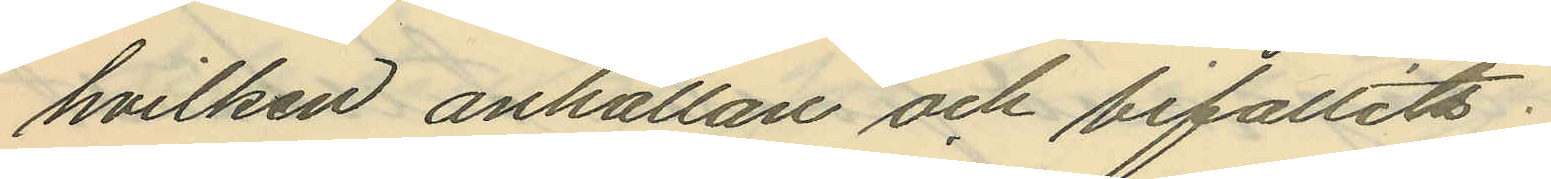hvilken anhållan och bifallits;
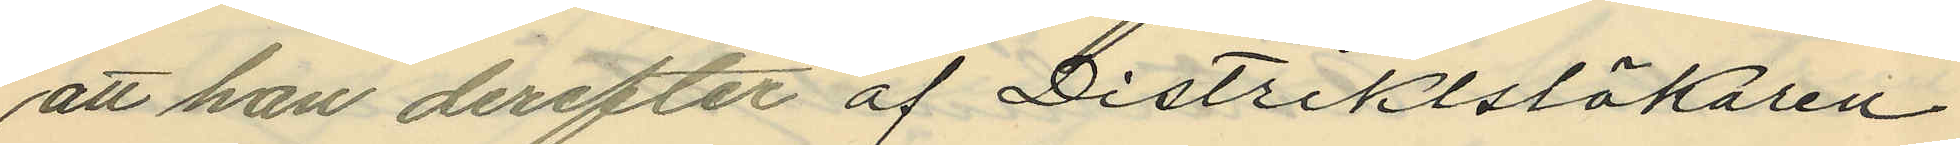att han derefter af Distriktsläkaren
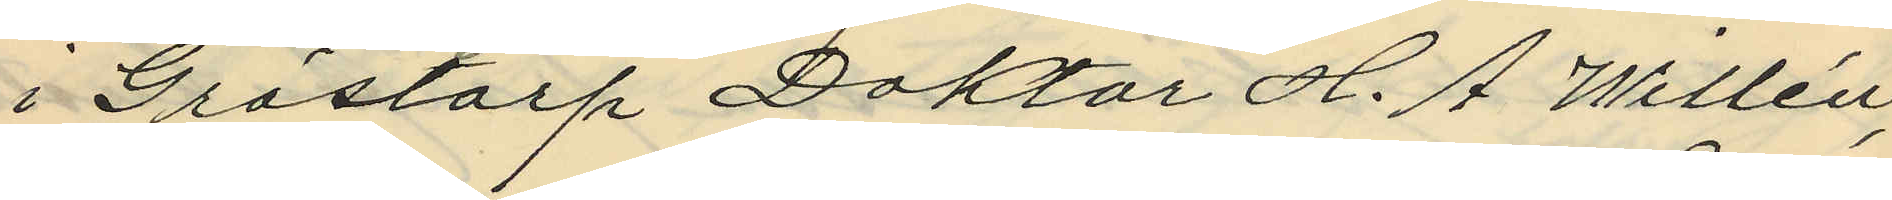i Grästorp Doktor H. A Willén,
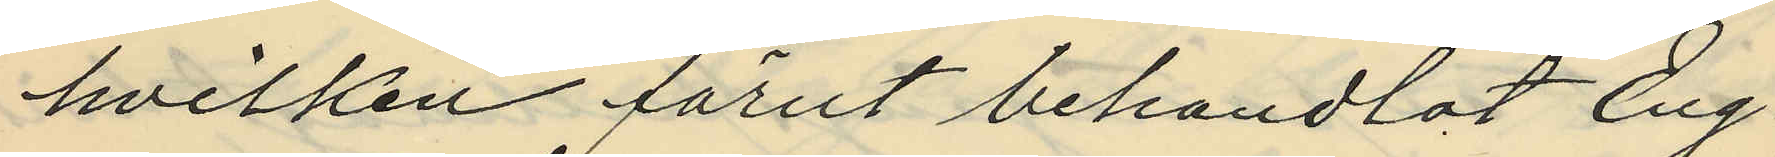hvilken förut behandlat Eng¬
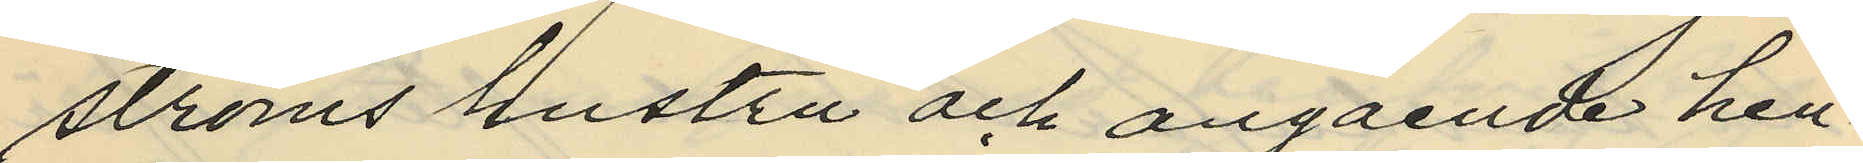ströms hustru och angående hen¬
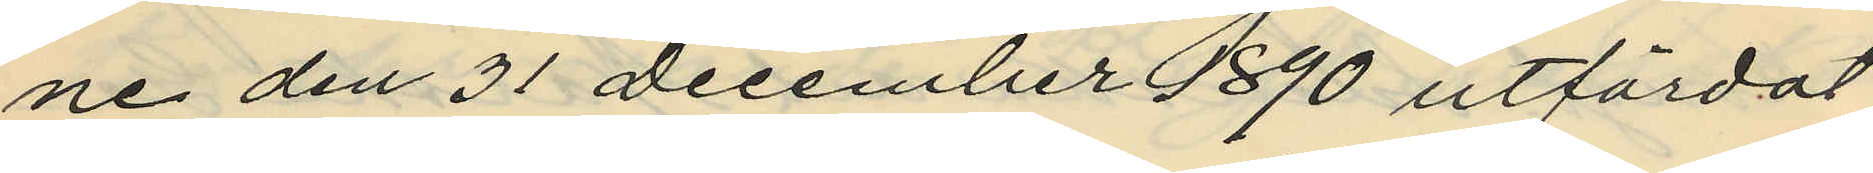ne den 31 December 1890 utfärdat
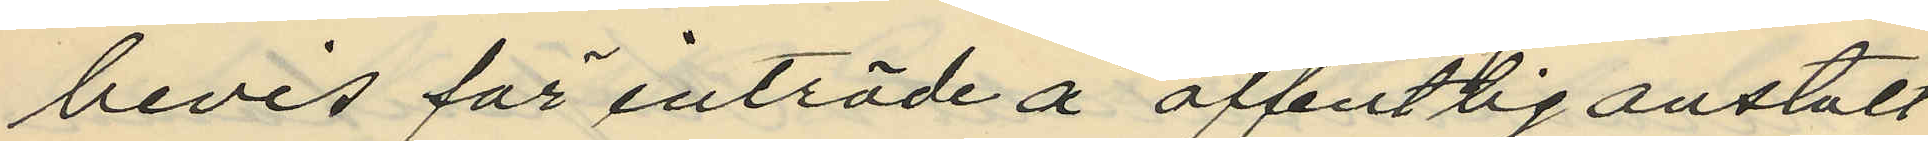bevis för inträde å offentlig anstalt
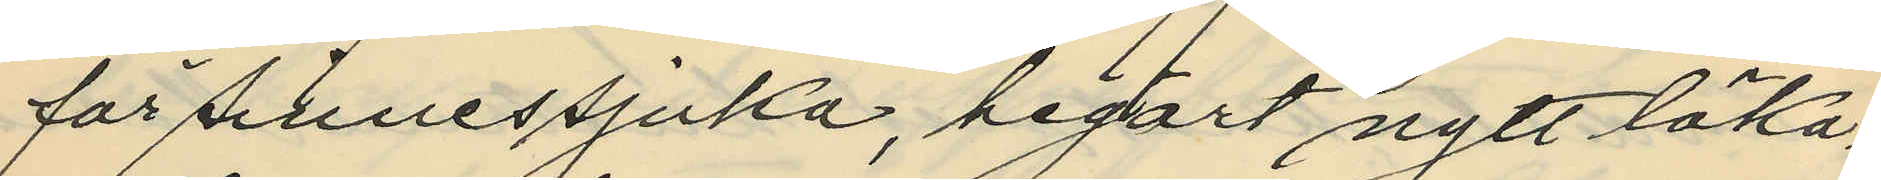för sinnessjuka, begärt nytt läka¬
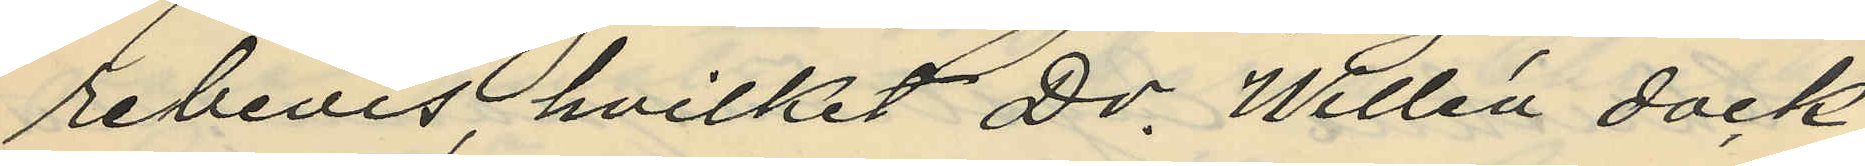rebevis, hvilket Dr. Willén dock
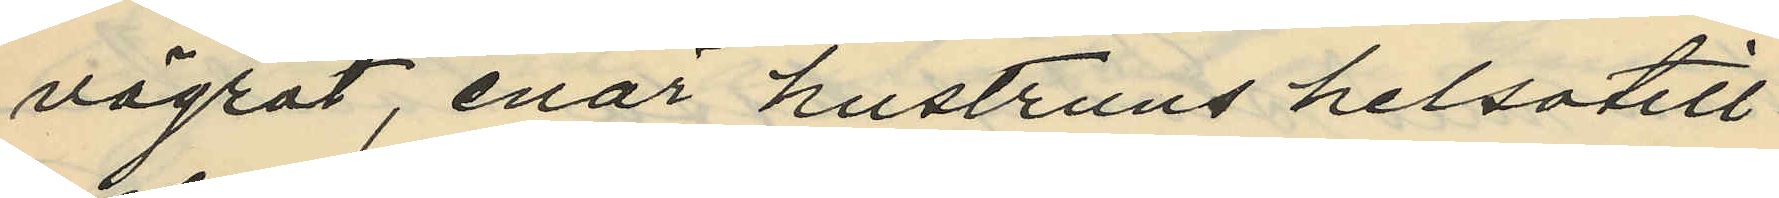vägrat, enär hustruns helsotill¬
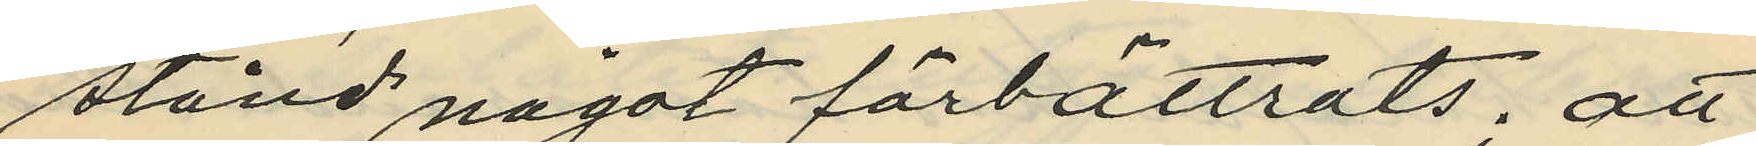stånd något förbättrats: att
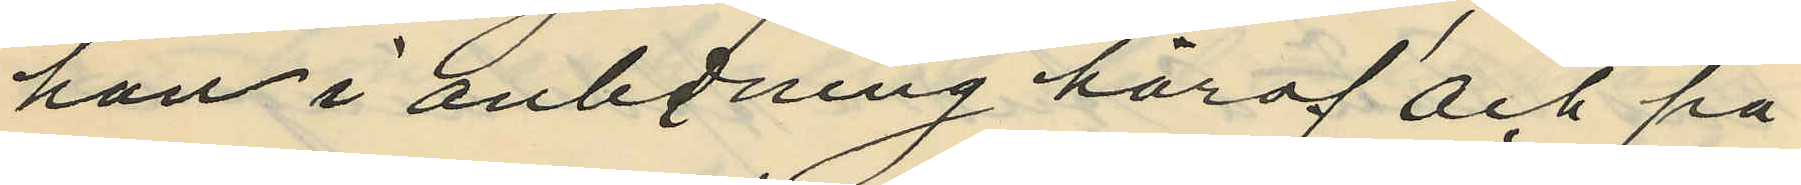han i anledning häraf och på
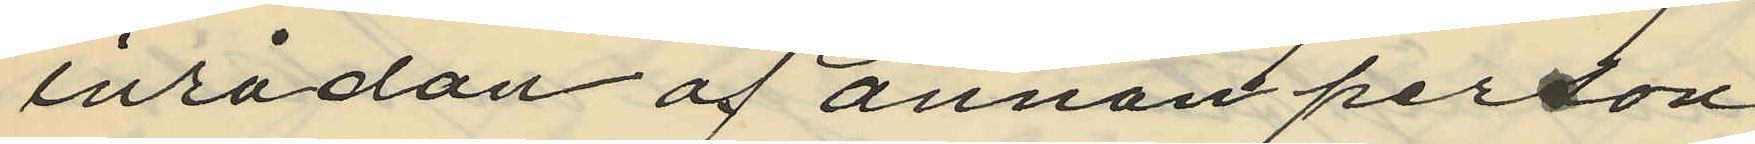inrådan af annan person
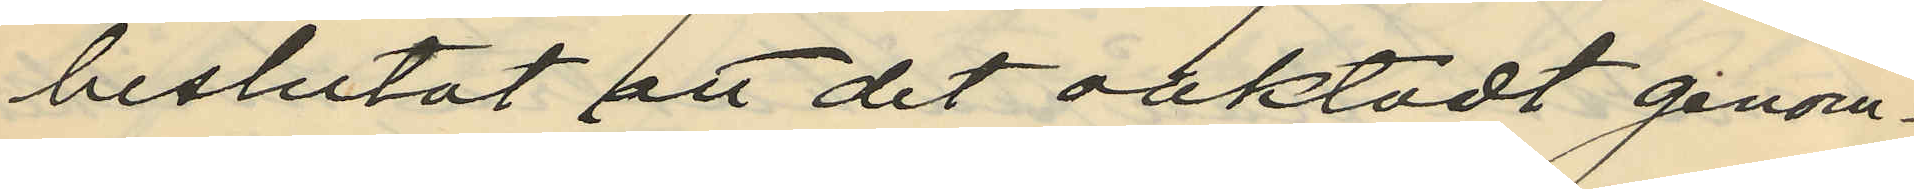beslutat att det oaktadt genom¬
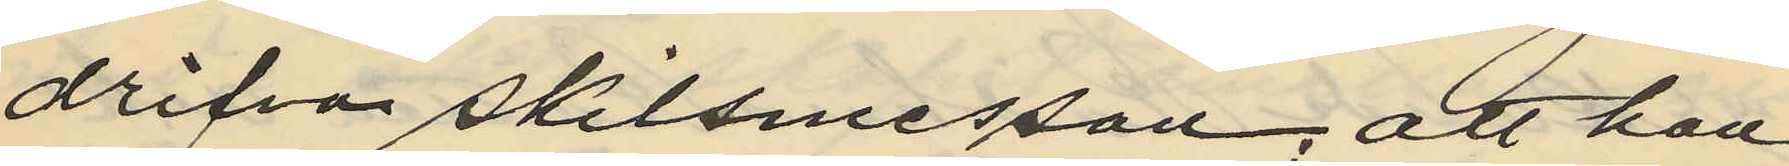drifva skilsmessan; att han
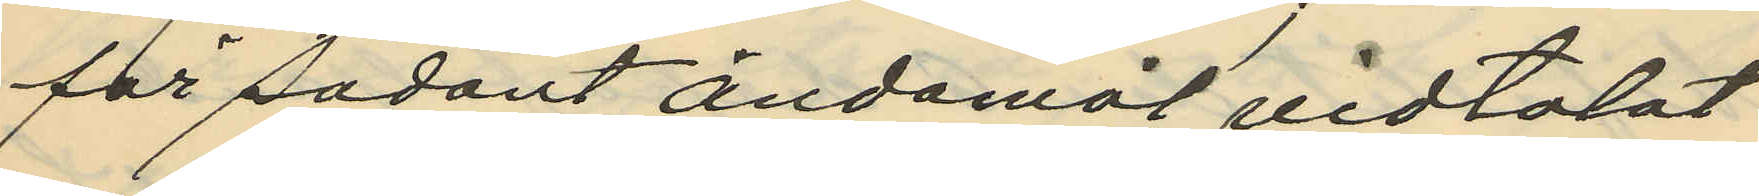för sådant ändamål vidtalat
